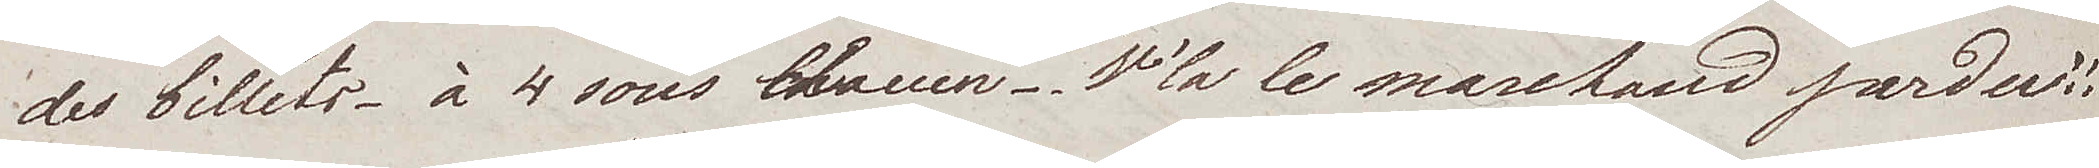des billets – à 4 sous chacuen. V´la le marchand perdu!!
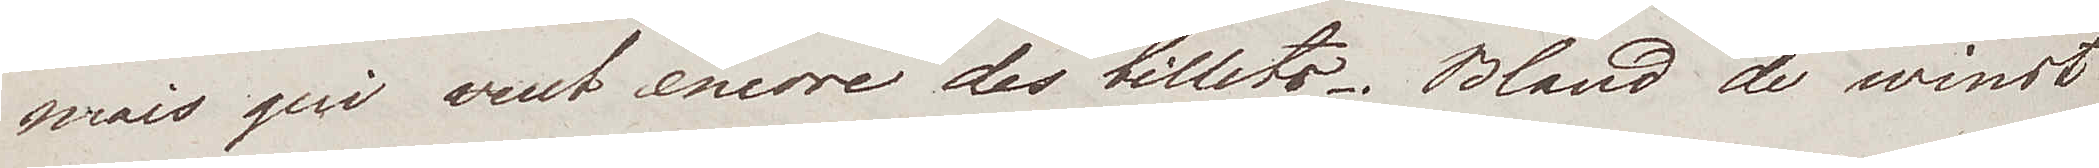mais qui vent encore des billets. Bland de winst
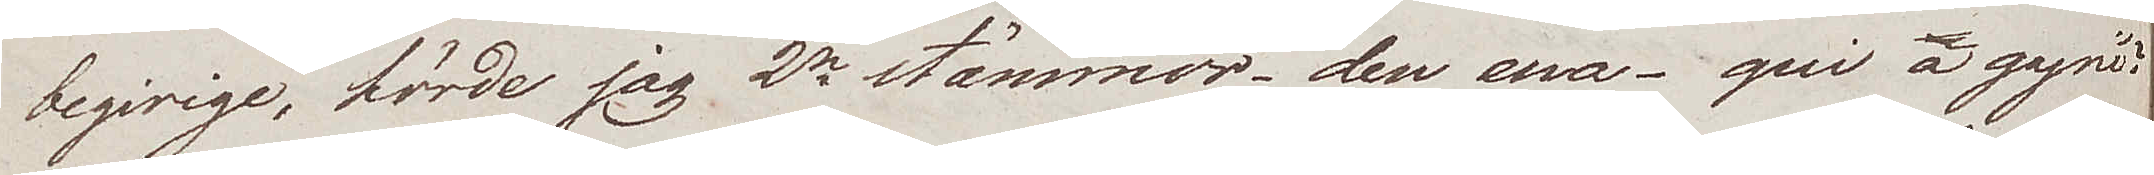begirige, hörde jag 2ne stämmor – den ena – qui a gagni?
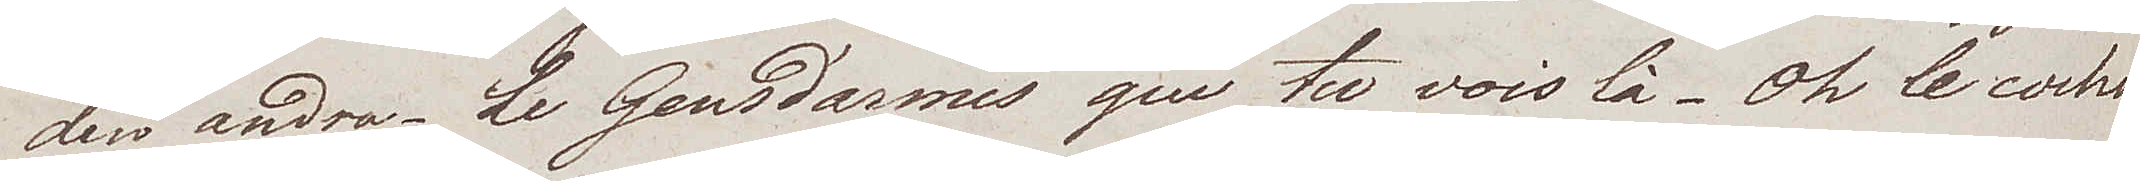den andra. Le Gensdarmes que tu vois là – Oh le cochon
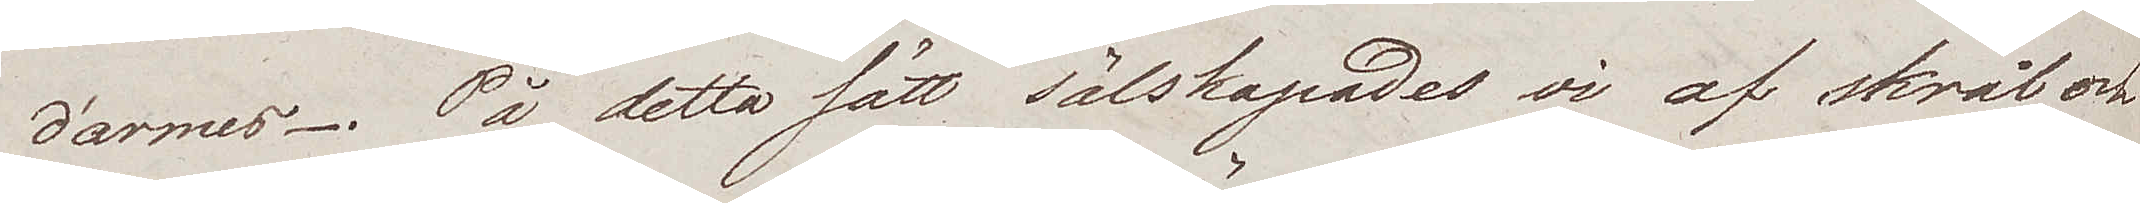d'armes. På detta sätt sälskapades vi af skrål och
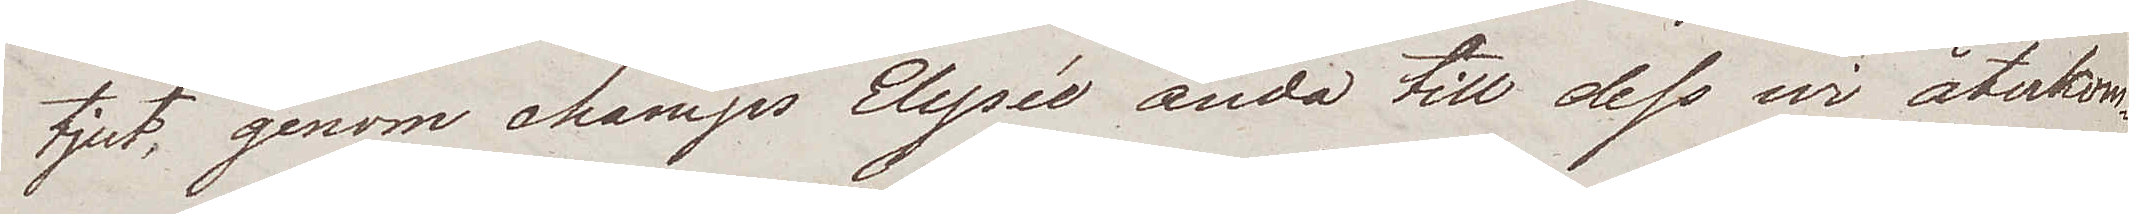tjut, genom champs Elysée ända till dess wi återkom¬
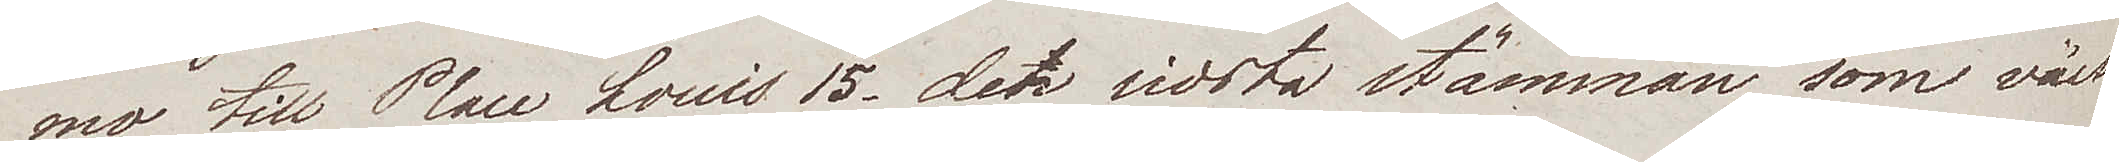mo till Place Louis 15, den sista stämman som väck¬
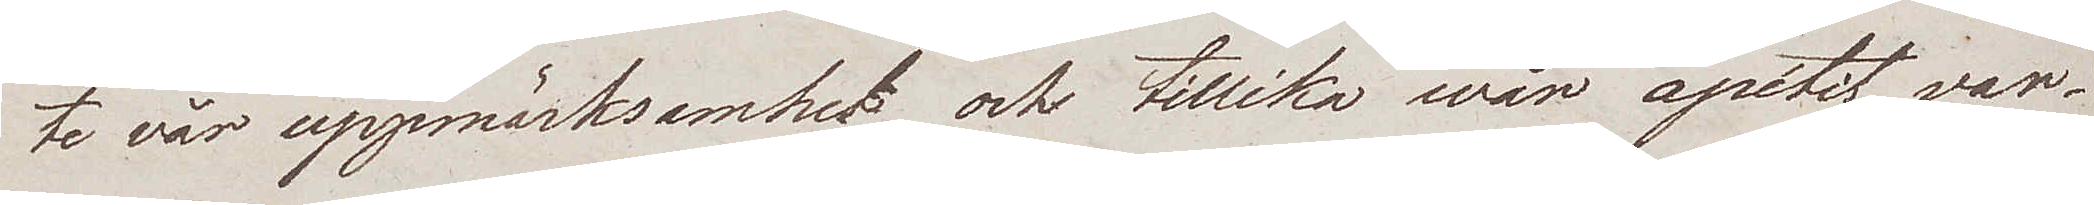te vår uppmärksamhet och tillika wår apétit, var
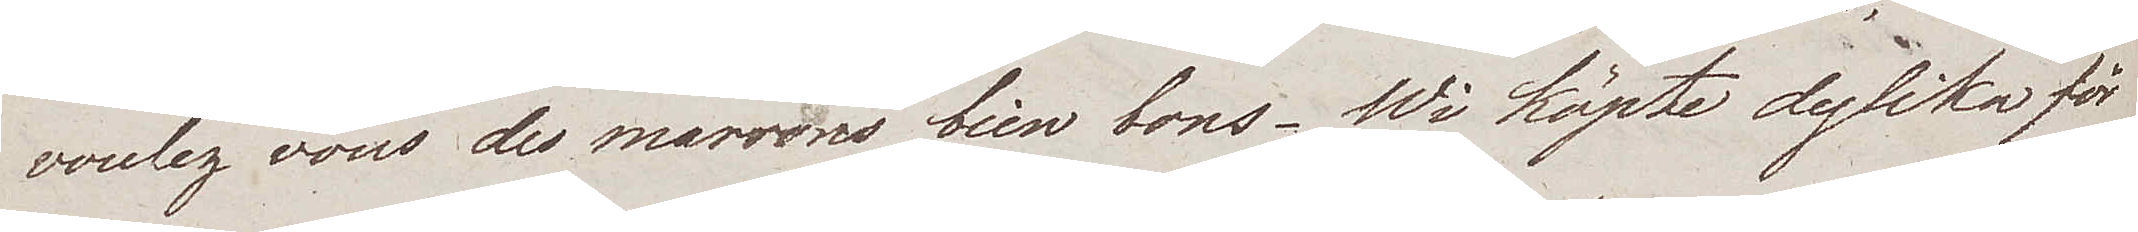voulez vous des marrons bien bons. Wi köpte dylika för
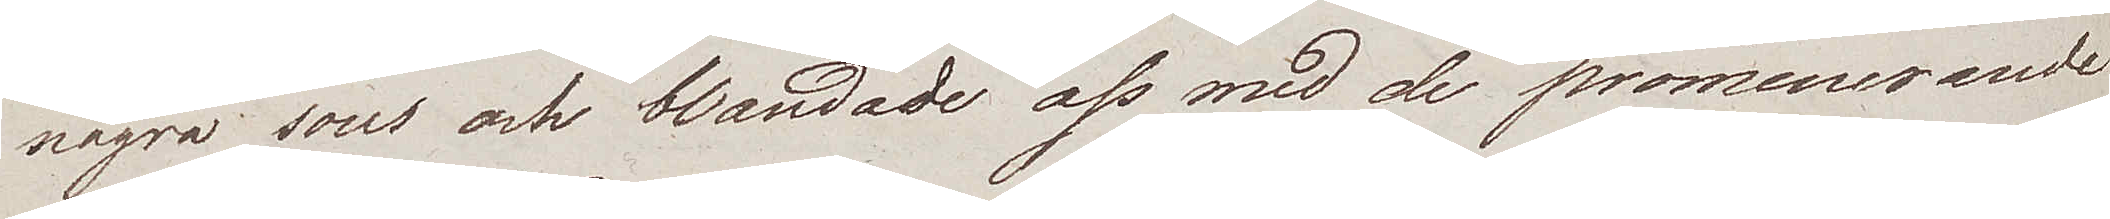några sous och blandade oss med de promenerande
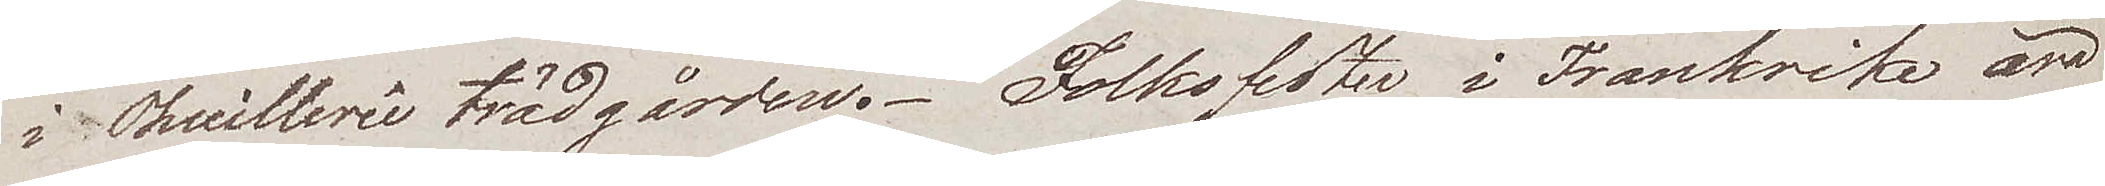i Thuillerie trädgården. Folksfester i Frankrike äro
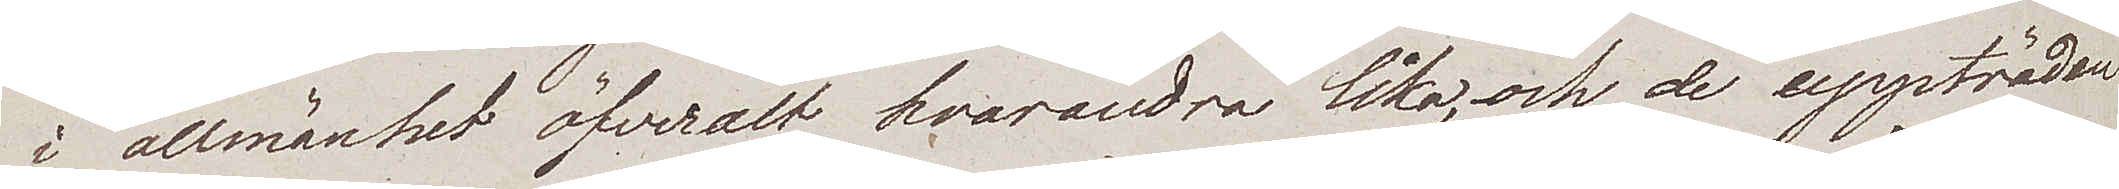i allmänhet öfveralt hvarandra lika, och de uppträden
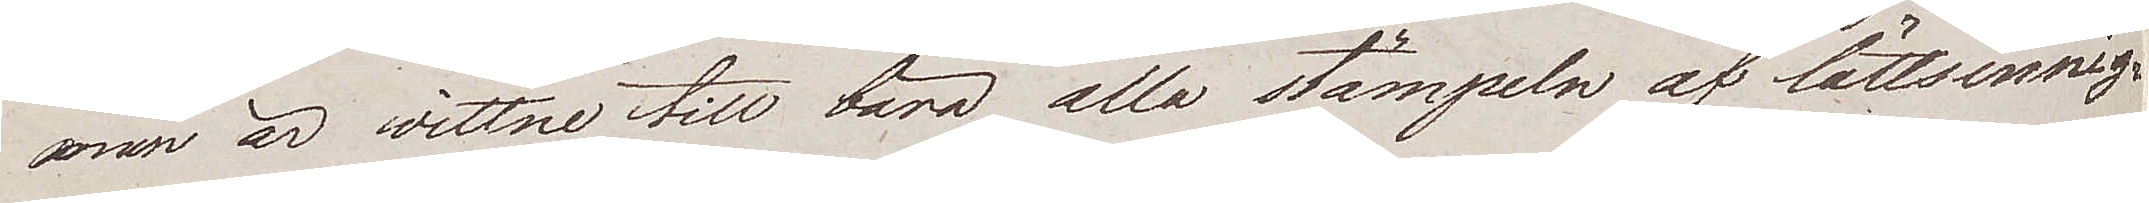man är vittne till bära alla stämpeln af lättsinnig¬
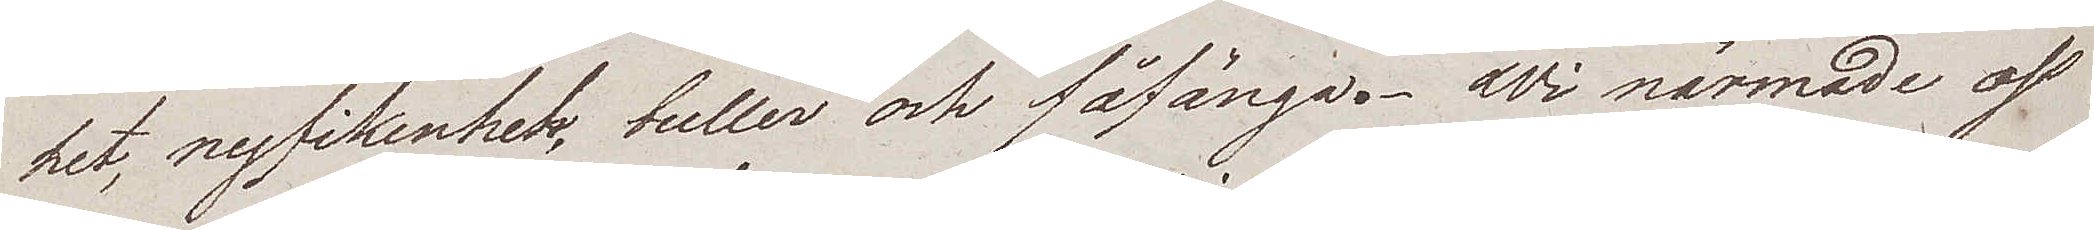het, nyfikenhet, buller och fåfånga. Wi närmade oss
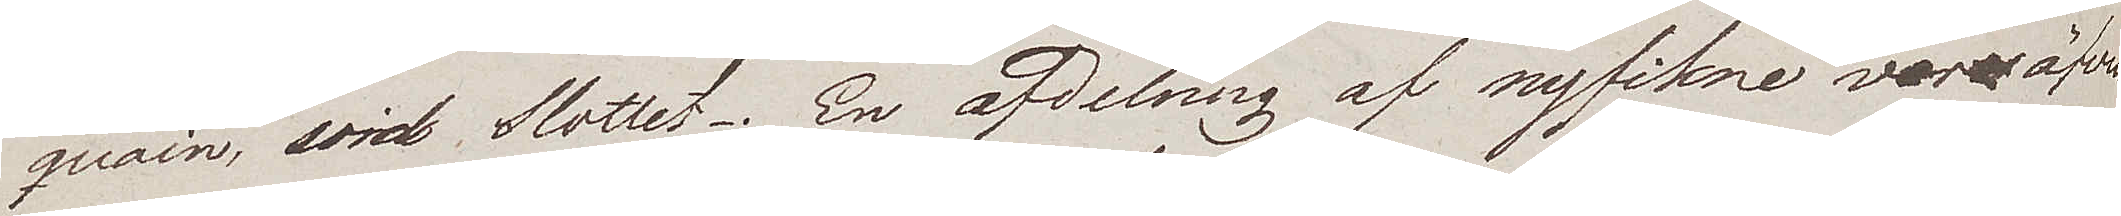quain vid Slottet. En afdelnig af nyfikne vore äfven
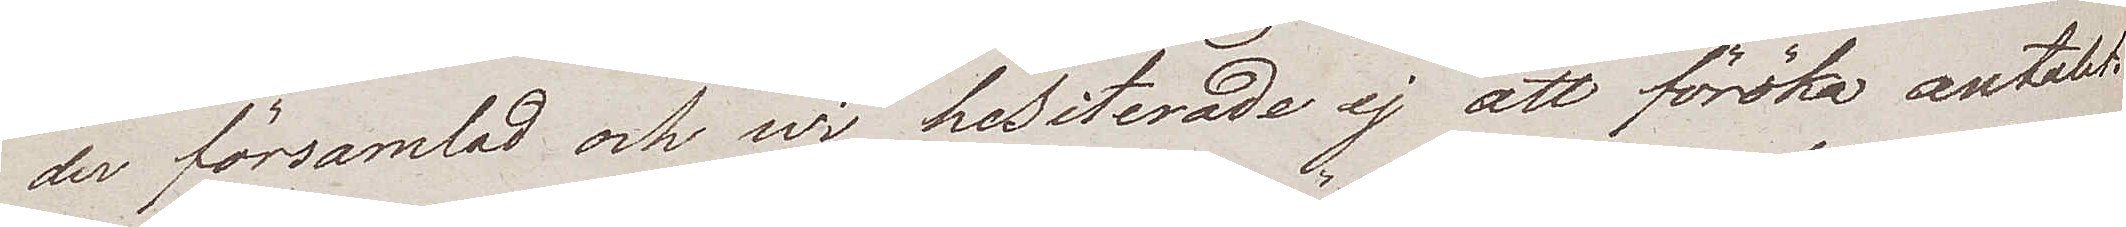der församlad och wi hesiterade ej att föröka antalet.
